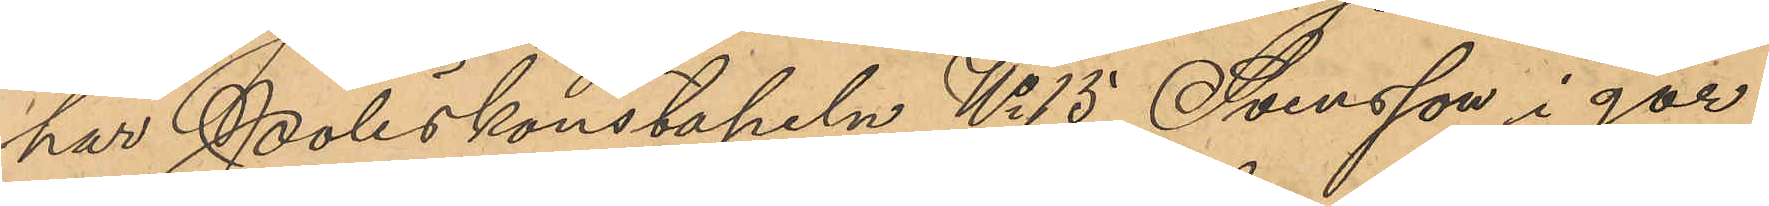har Poliskonstapeln No 15 Svensson i går
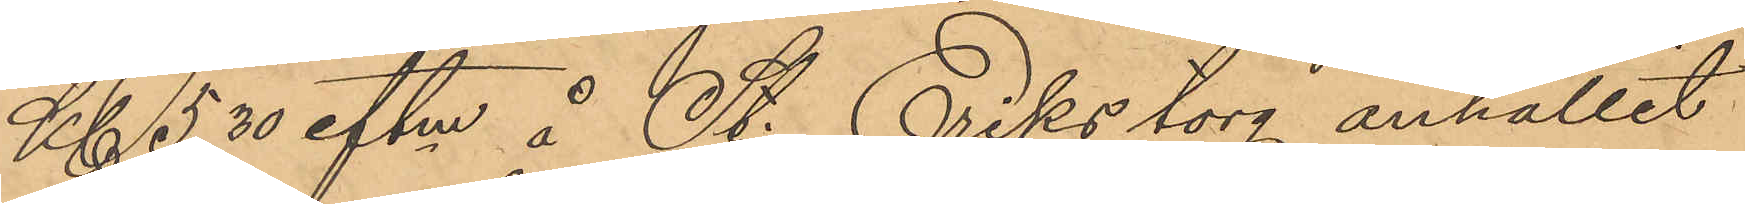Kl. 5,30 eftm å St. Eriks torg anhållit
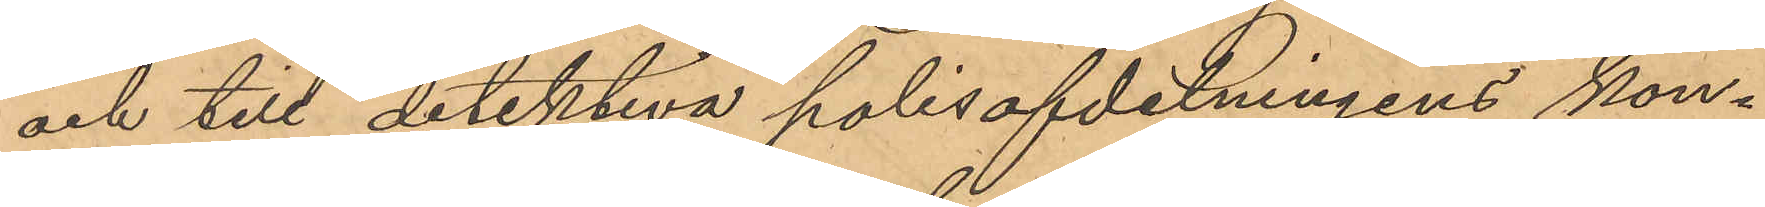och till detektiva polisafdelningens kon¬
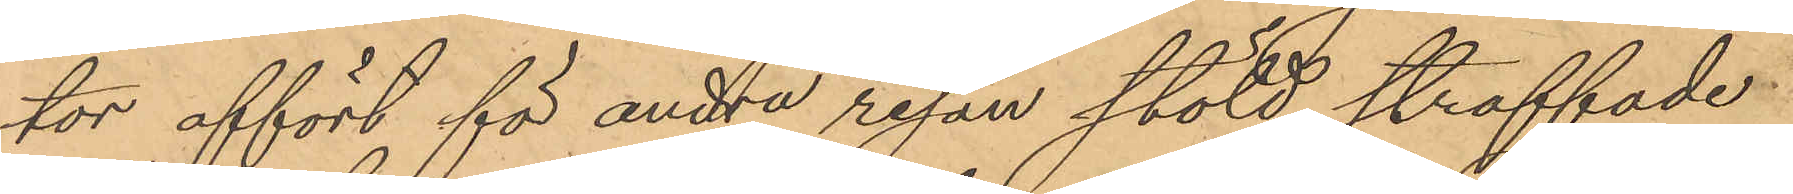tor affört för andra resan stöld straffade
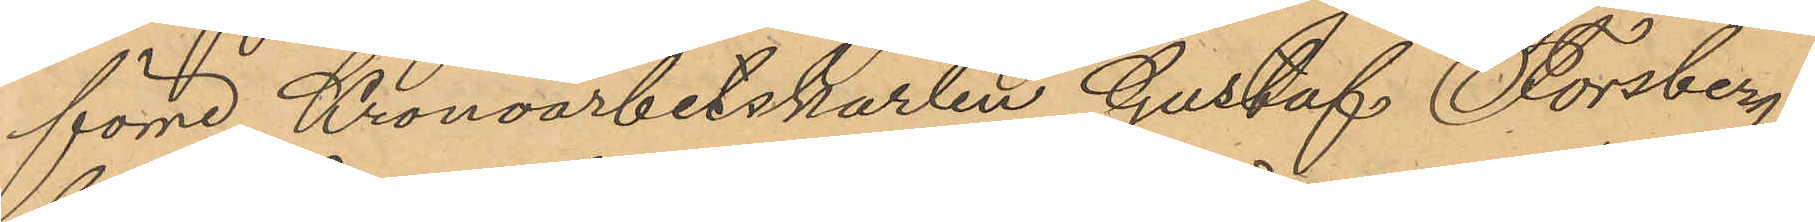förre Kronoarbetskarlen Gustaf Forsberg,
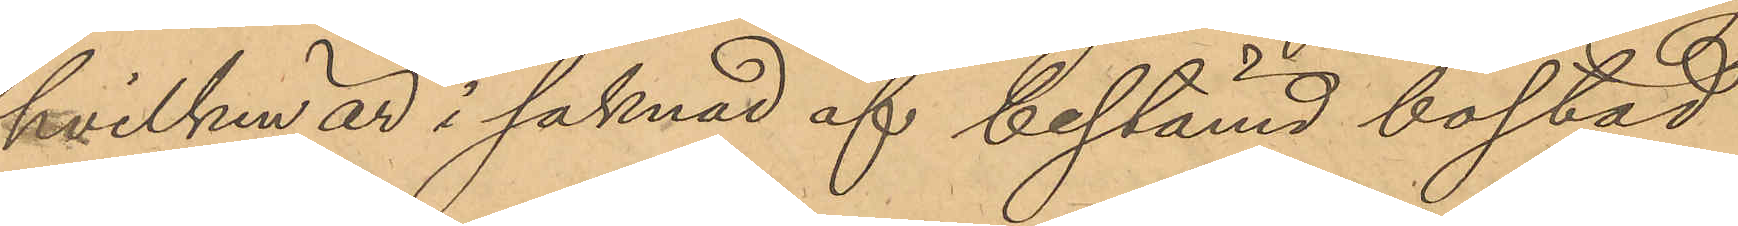hvilken är i saknad af bestämd bostad
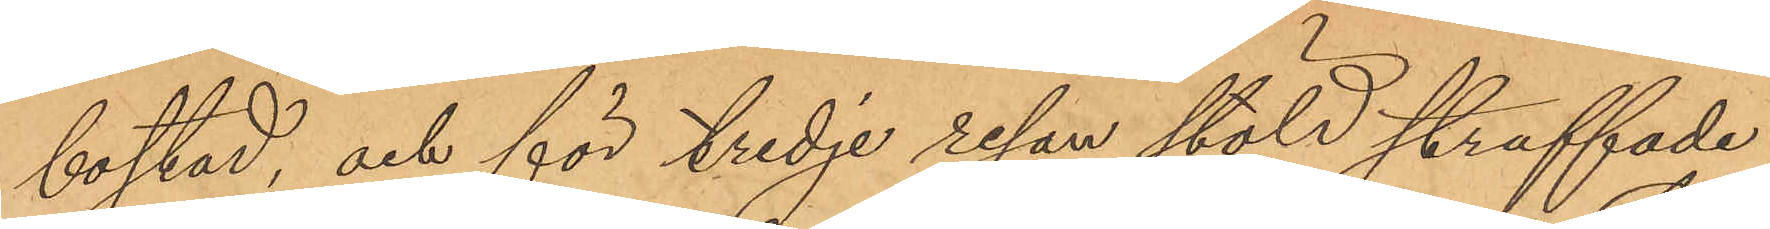bostad, och för tredje resan stöld straffade
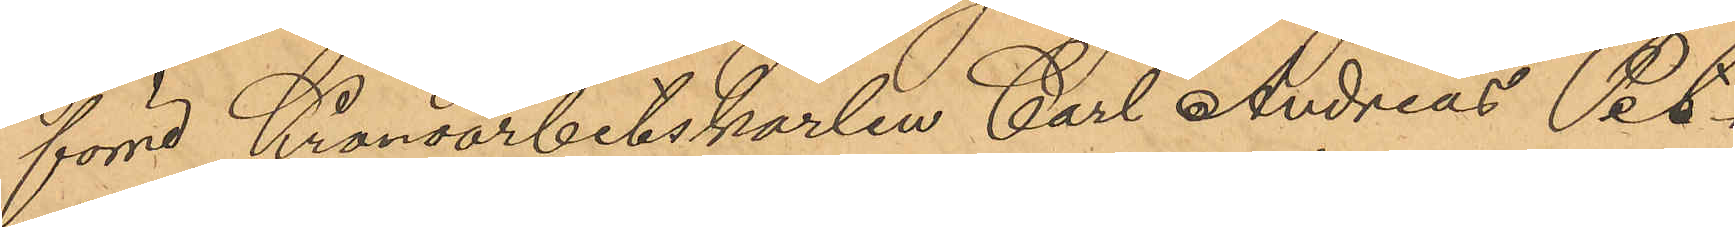förre Kronoarbetskarlen Carl Andreas Pet¬
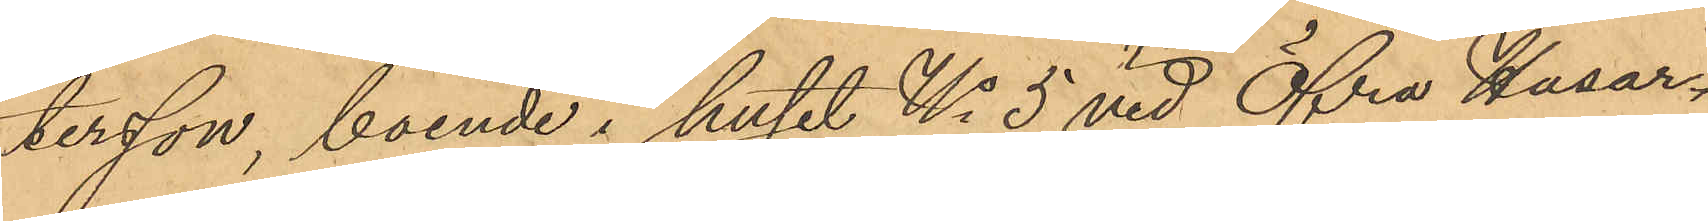tersson, boende i huset No 5 vid Öfra Husar¬
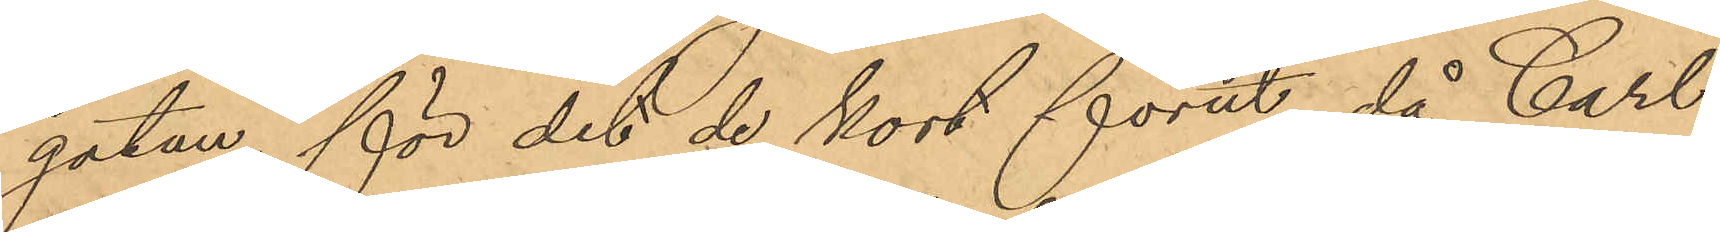gatan för det de kort förut, då Carl
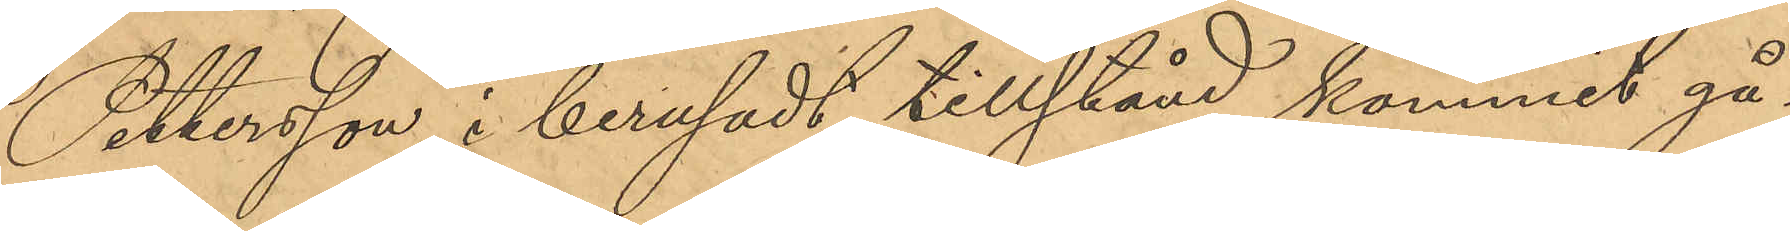Pettersson i berusadt tillstånd kommit gå¬
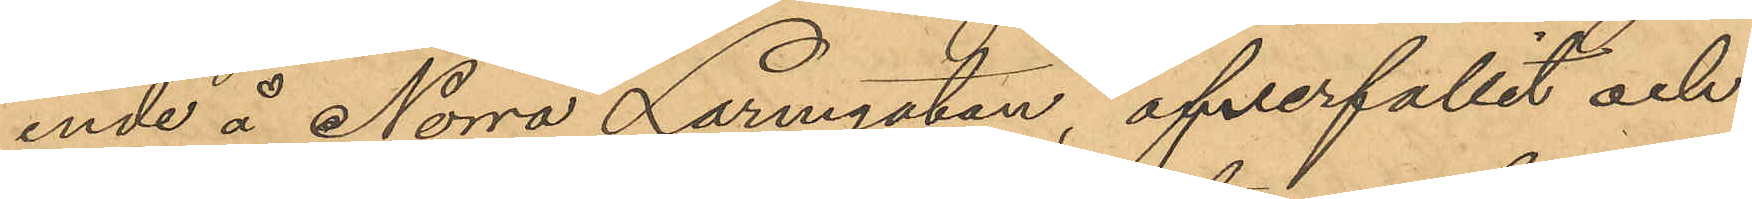ende å Norra Larmgatan, öfverfallit och
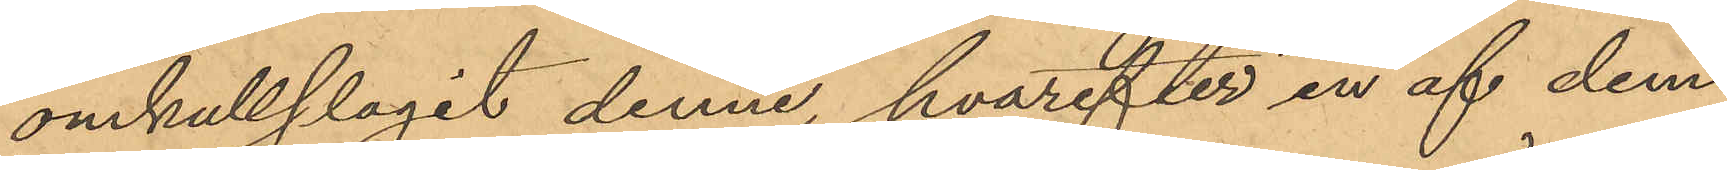omkullslagit denne, hvarefter en af dem
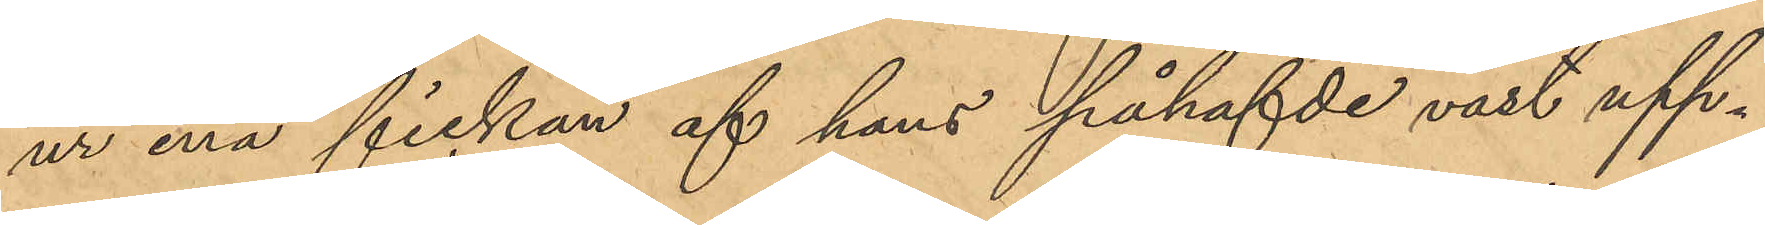ur ena fickan af hans påhafvde väst upp¬
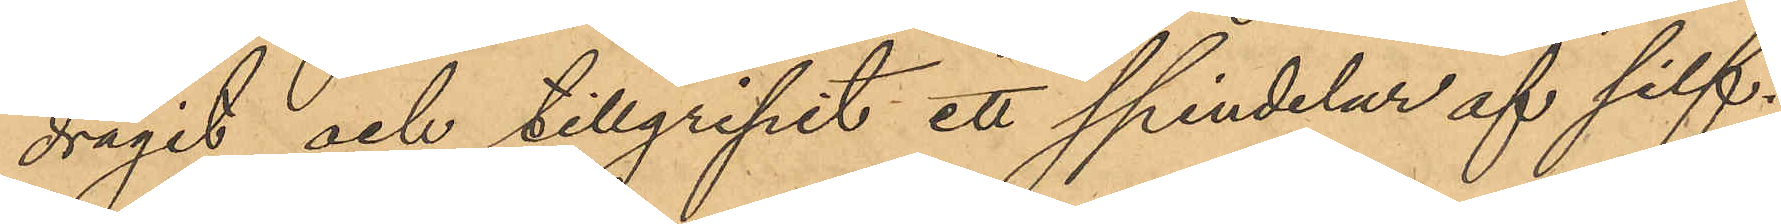dragit och tillgripit ett spindelur af silf¬
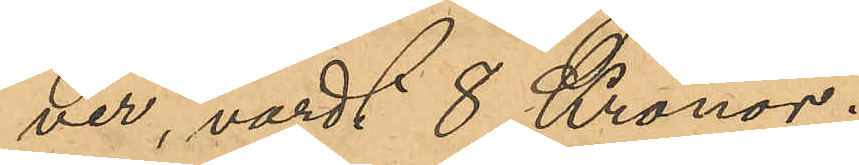ver, värdt 8 Kronor.
